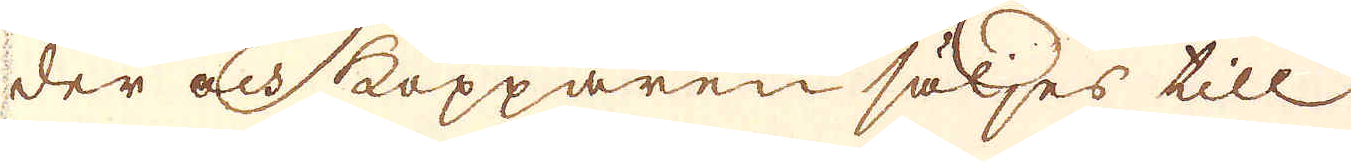der och kopparen säljes till
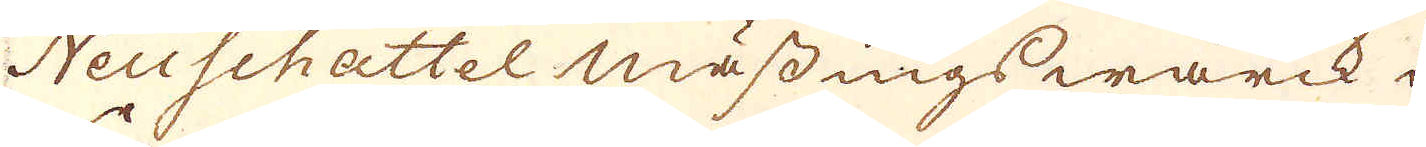Neuschattel, mässings wärck i
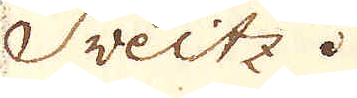Sveitz.
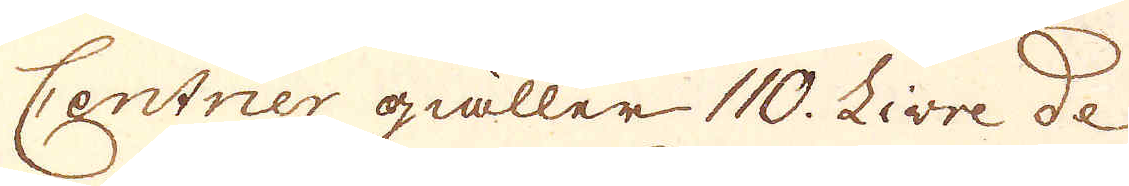Centner giäller 110. Livre de
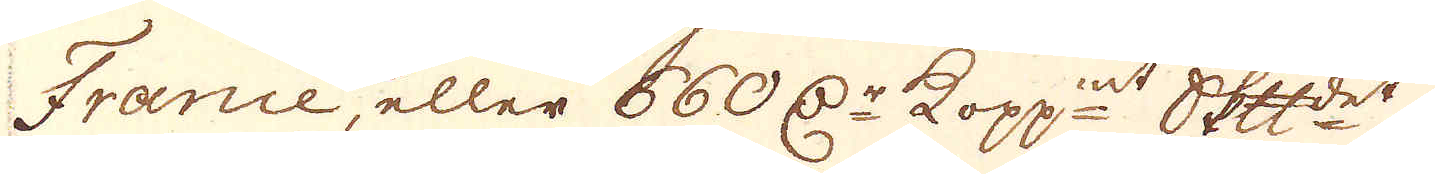France, eller 660 d:r kopp:mt skeppundet.
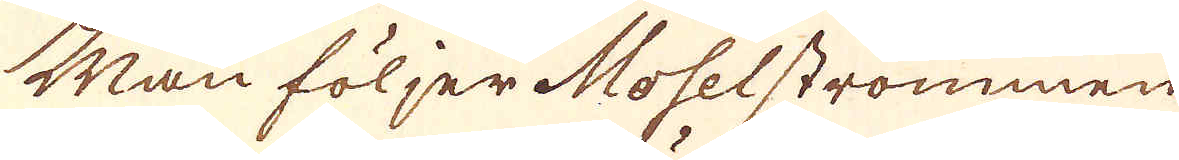Man följer Moselströmmen
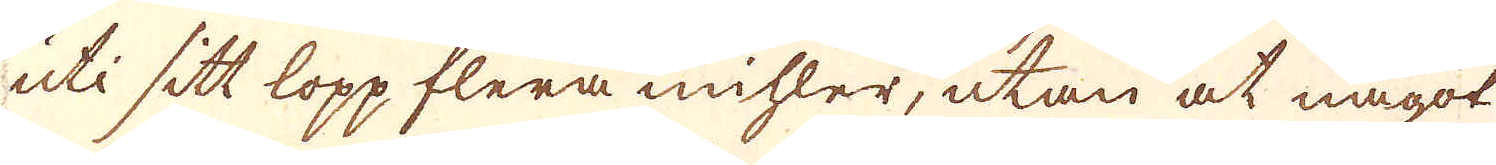uti sitt lopp flera mihler, utan at något
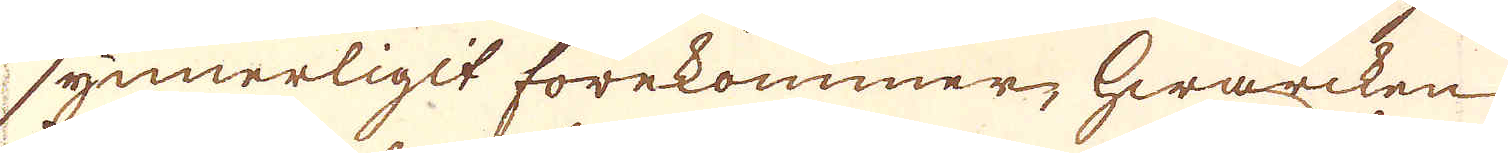synnerligit förekommer, hwarcken
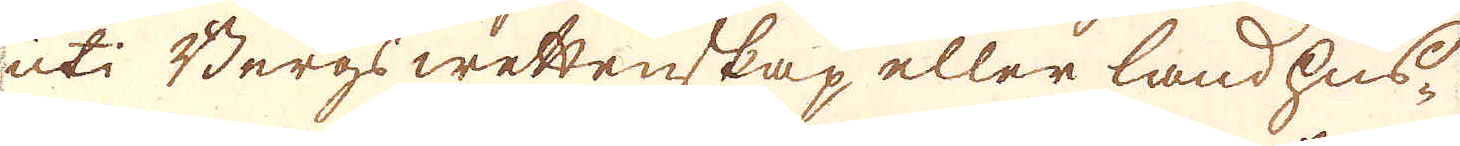uti Bergs wettenskap eller land hus-
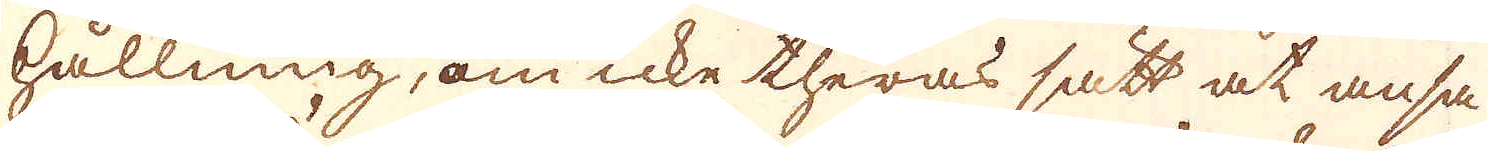hållning, om icke theras sätt at ansa
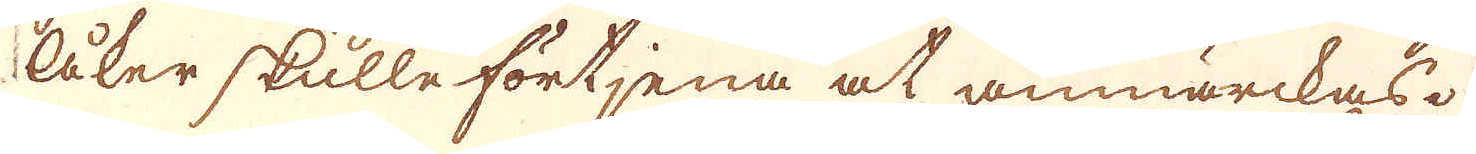åker skulle förtjena at anmärckas.
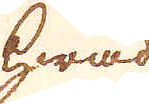Hwad
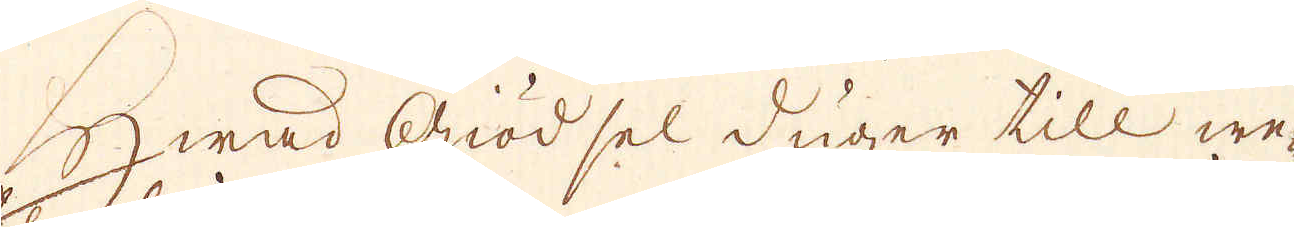Hwad Giödsel duger till we-
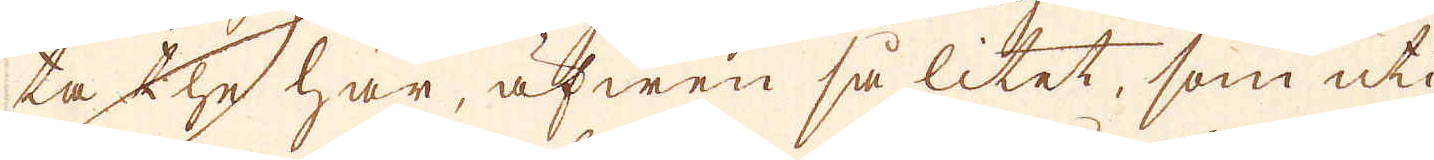ta the här, äfwen så litet, som uti
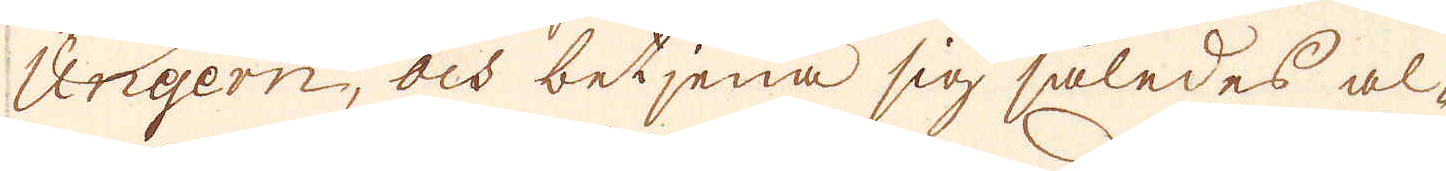Ungern, och betjena sig således al-
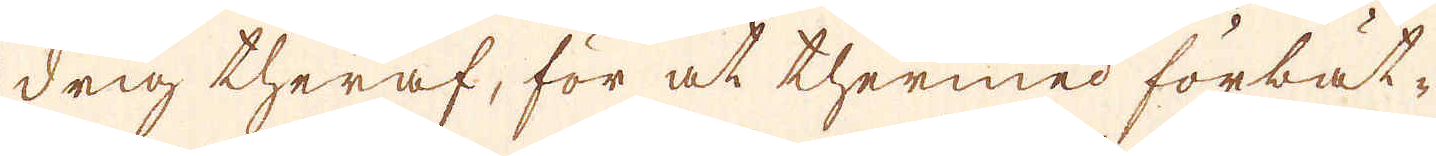drig theraf, för at thermed förbät-
